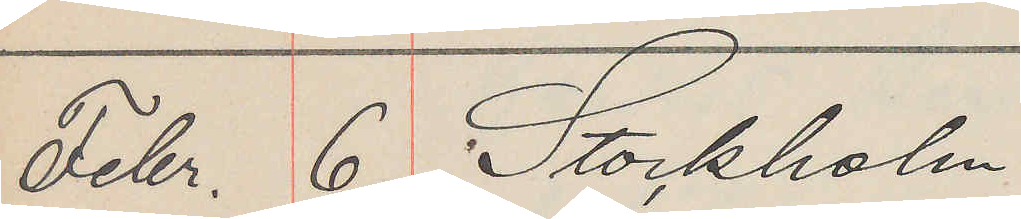Febr. 6. Stockholm
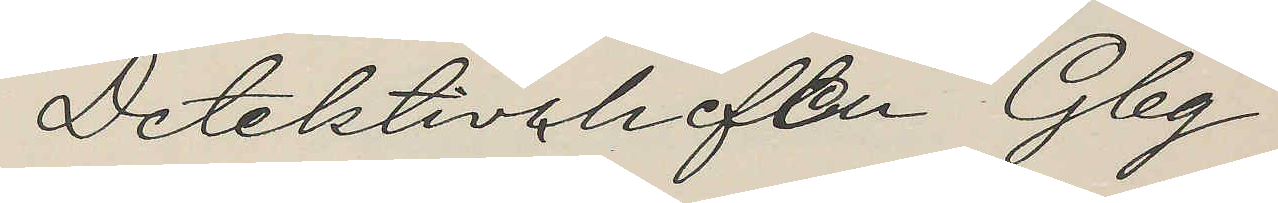Detektivchefen Gbg
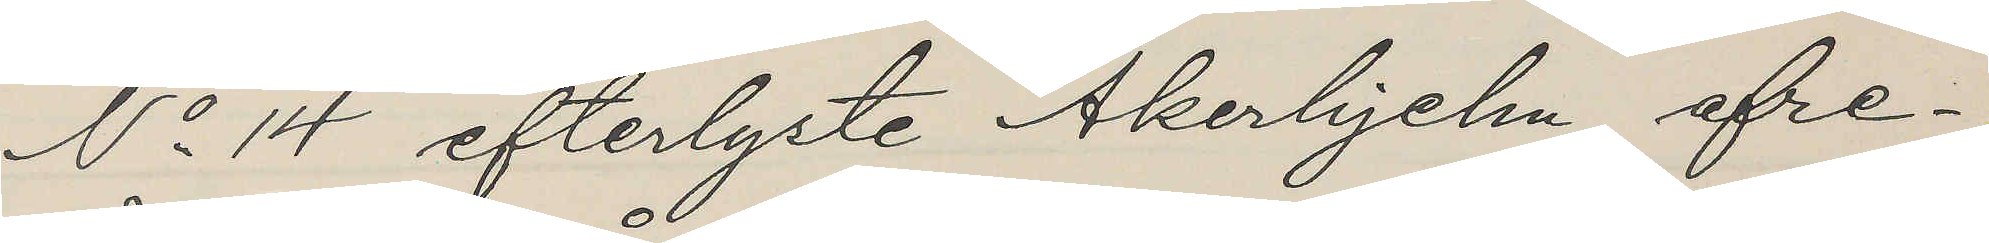No 14 efterlyste Åkerhjelm afre¬
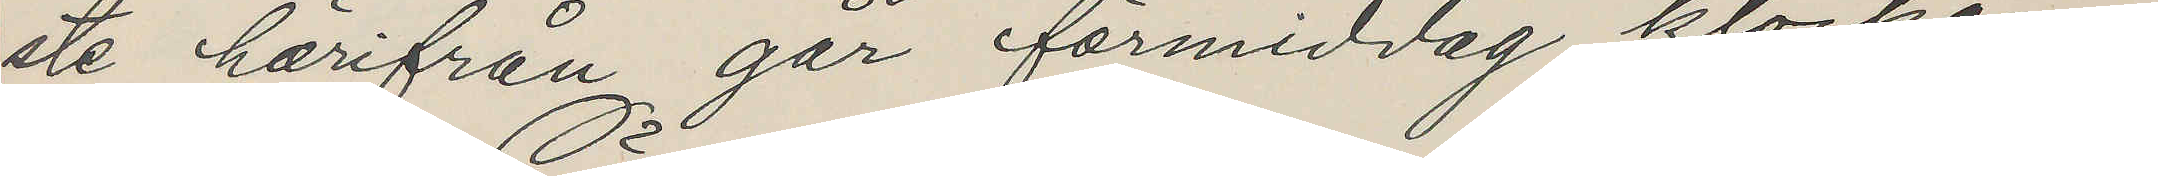ste härifrån går förmiddag klockan
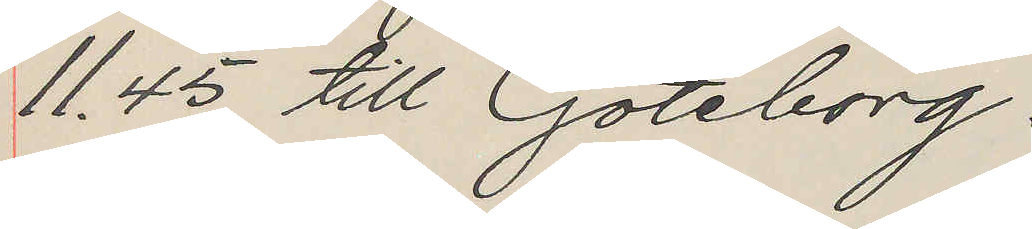11.45 till Göteborg.
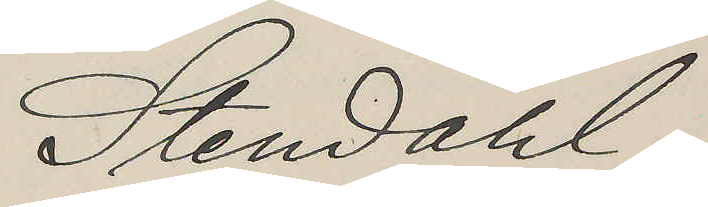Stendahl.
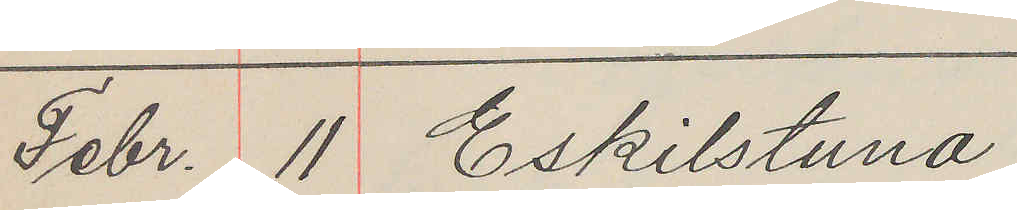Febr. 11 Eskilstuna
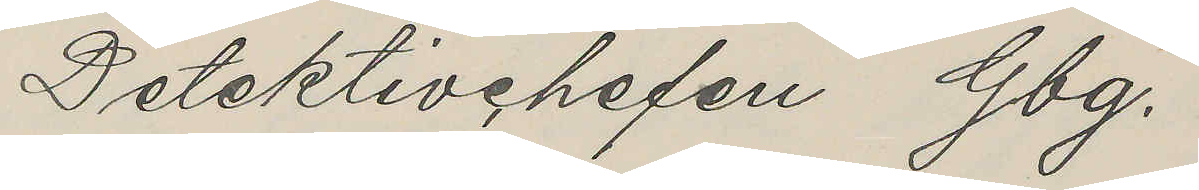Detektivchefen Gbg.
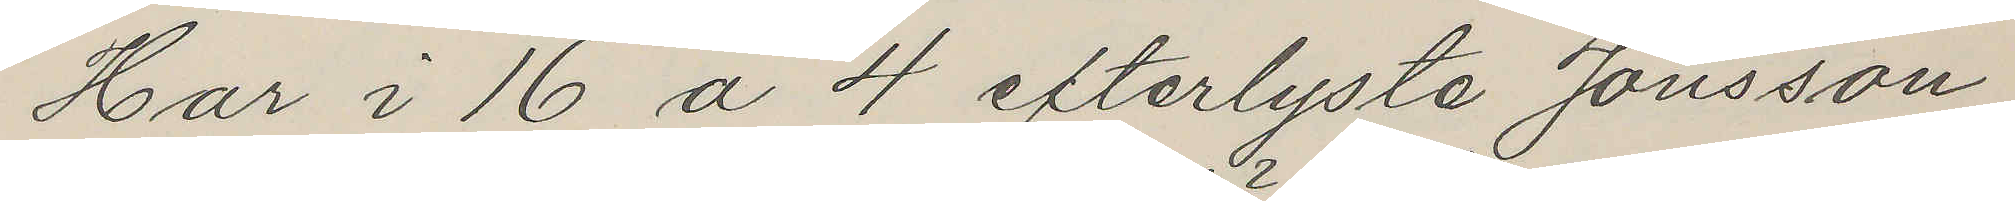Har i 16 a 4 efterlyste Jonsson
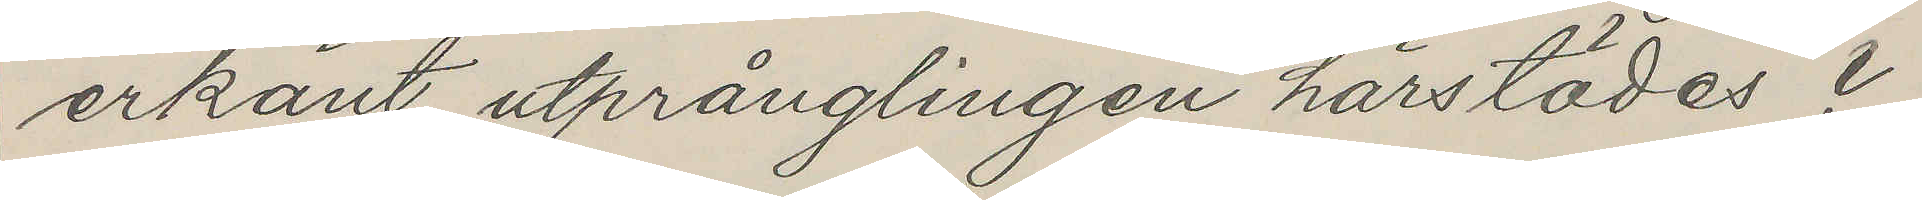erkänt utprånglingen härstädes?
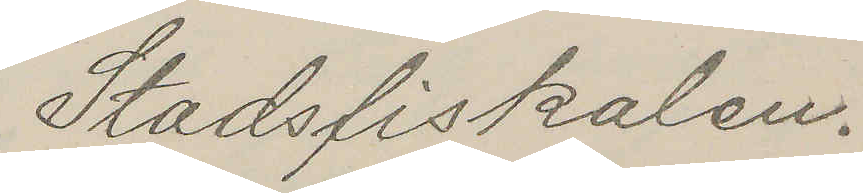Stadsfiskalen.
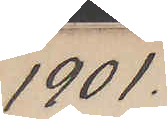1901
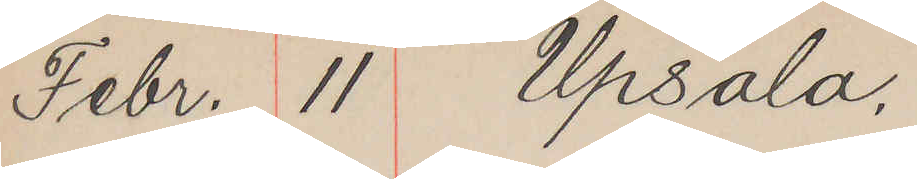Febr. 11 Upsala.
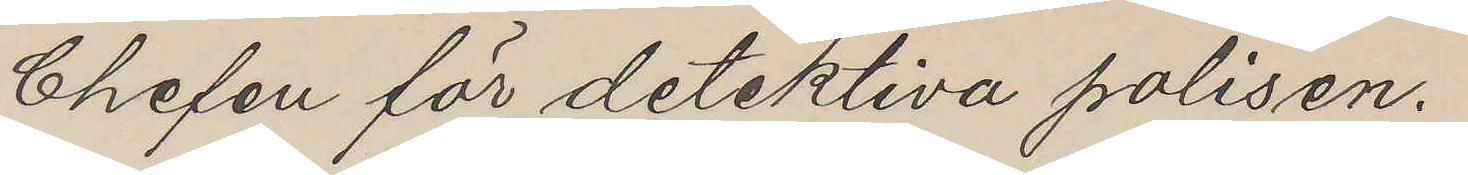Chelen för detektiva polisen.
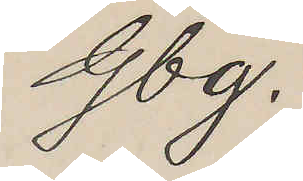Gbg.
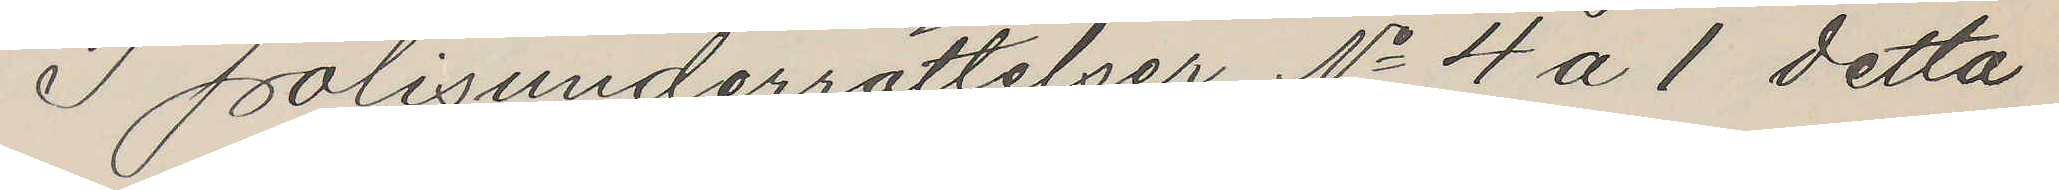I Polisunderrättelser No 4 a 1 detta
